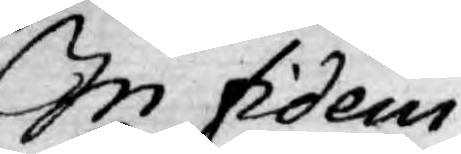In fidem
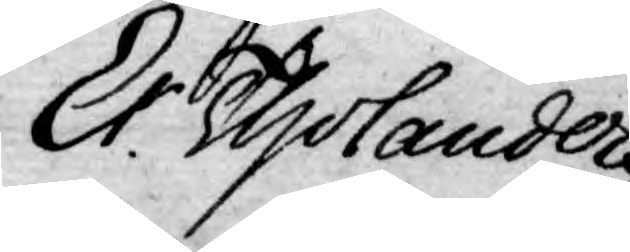Er. Tholander
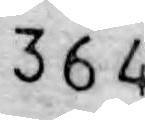364
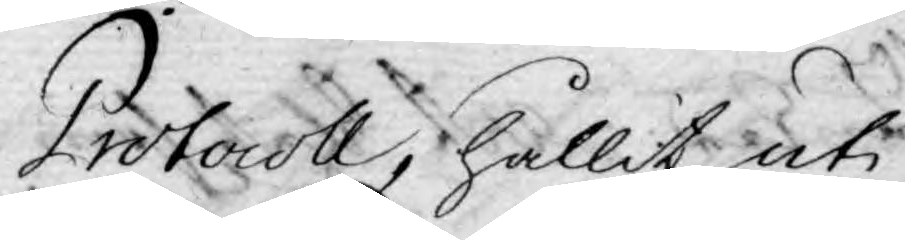Protocoll, hållit uti
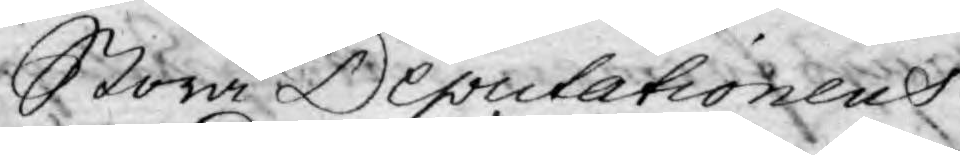Stora Deputationens
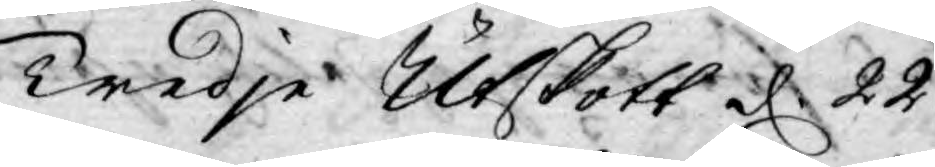Tredje Utskott d. 22
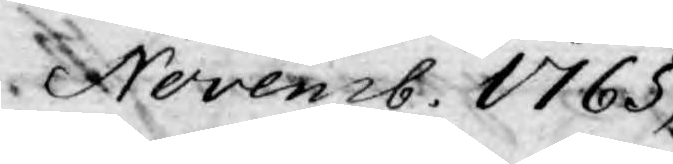Novemb. 1765,
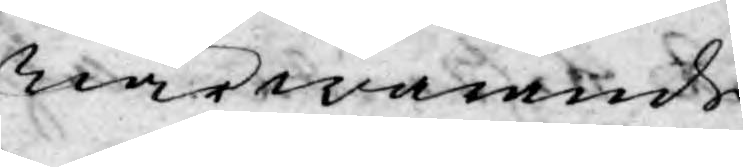närwarande
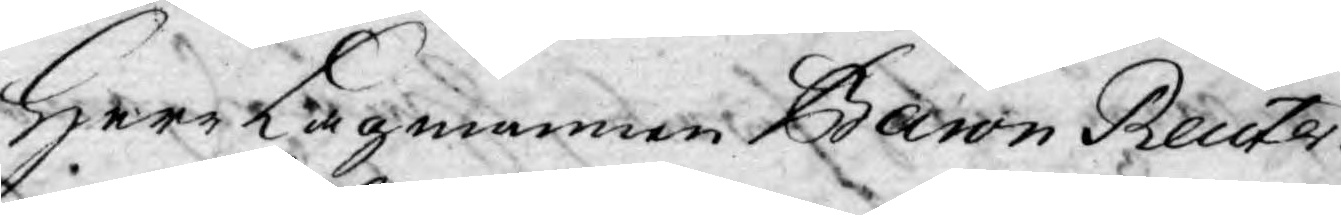Herr Lagmannen Baron Reuter¬
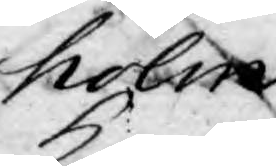holm
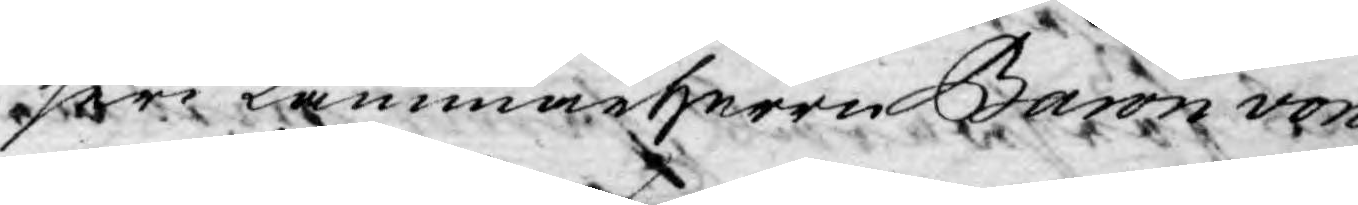Herr Kammarherren Baron von
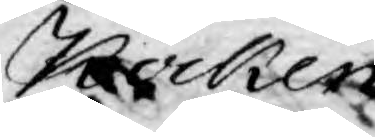Kocken,
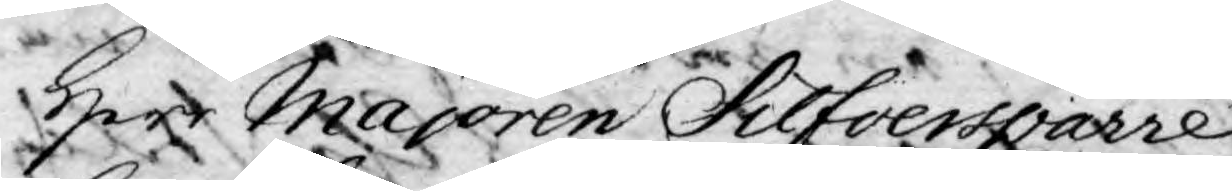Herr Majoren Silfversprarre,
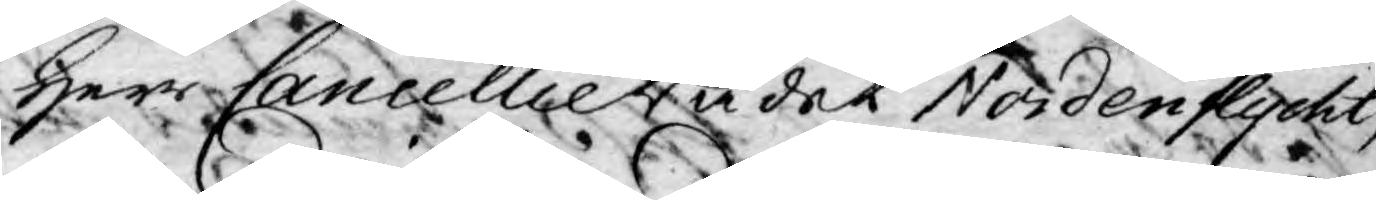Herr Cancellie Rådet Nordenflycht,
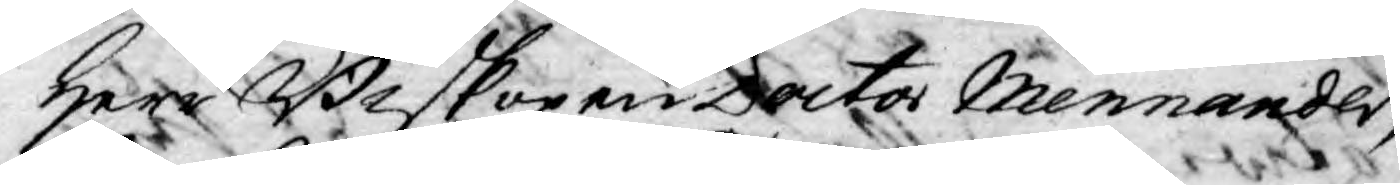Herr Biskopen Doctor Mennander,
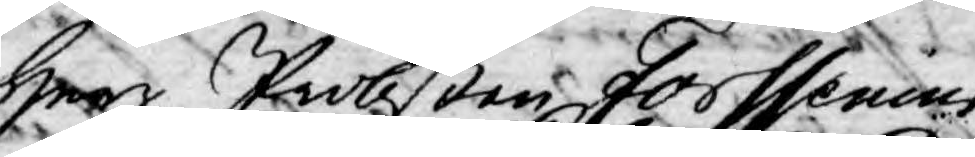Herr Probsten Forssenius
